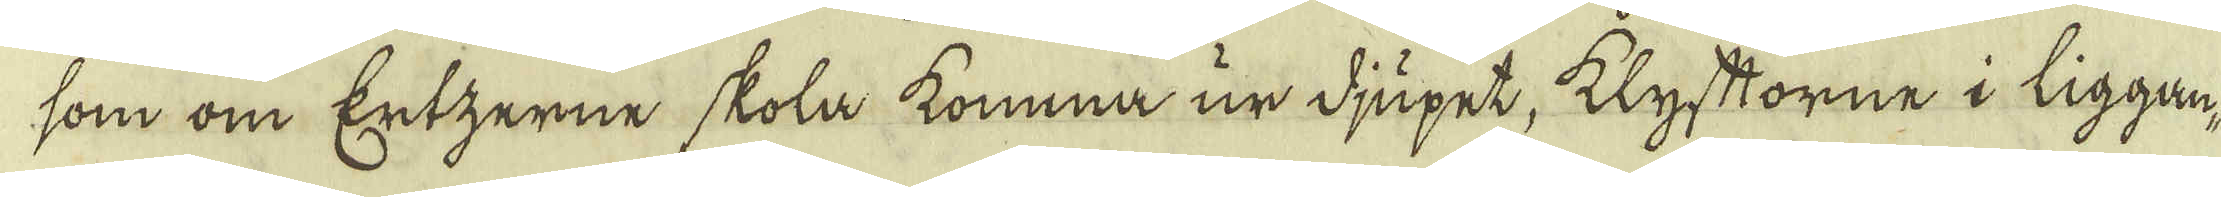som om Ertzerne skola komma ur djupet, klyftorne i liggan-
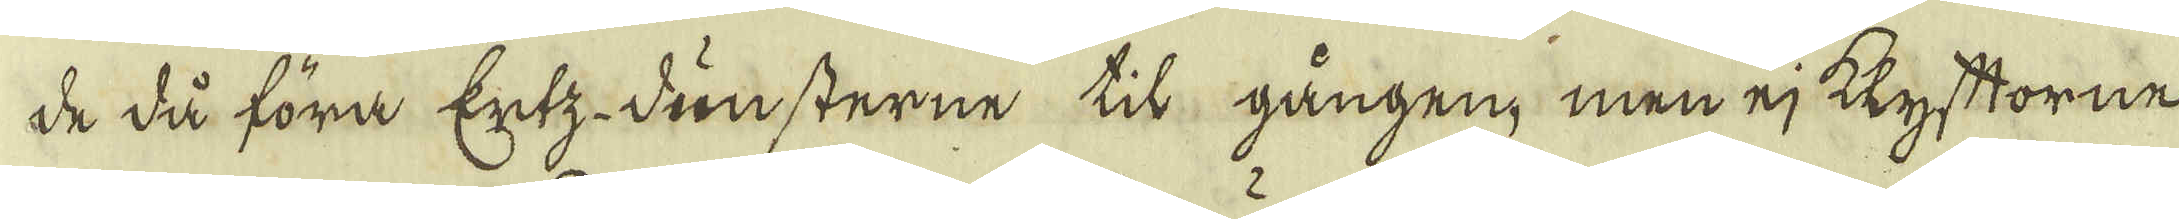de då föra Ertz-dunsterne til gången; men ej klyfttorne
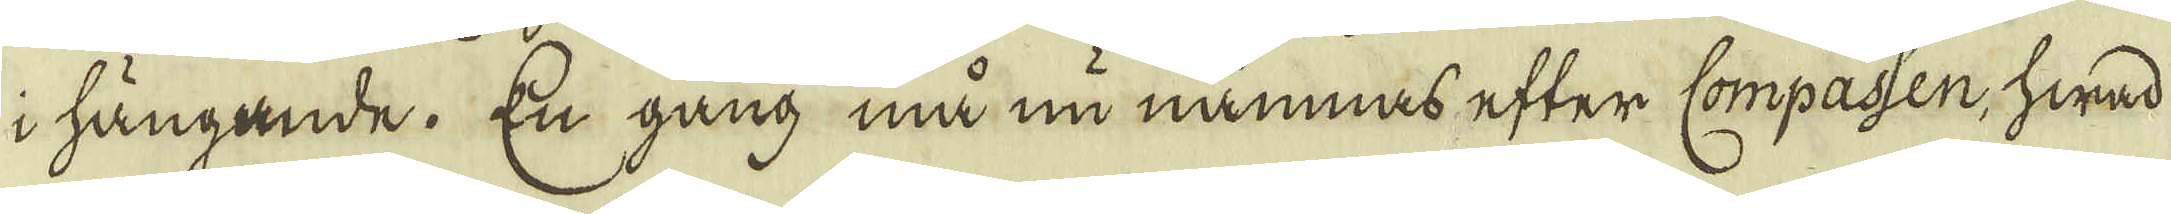i hängande. En gång må nu nämnas efter Compassen, hwad
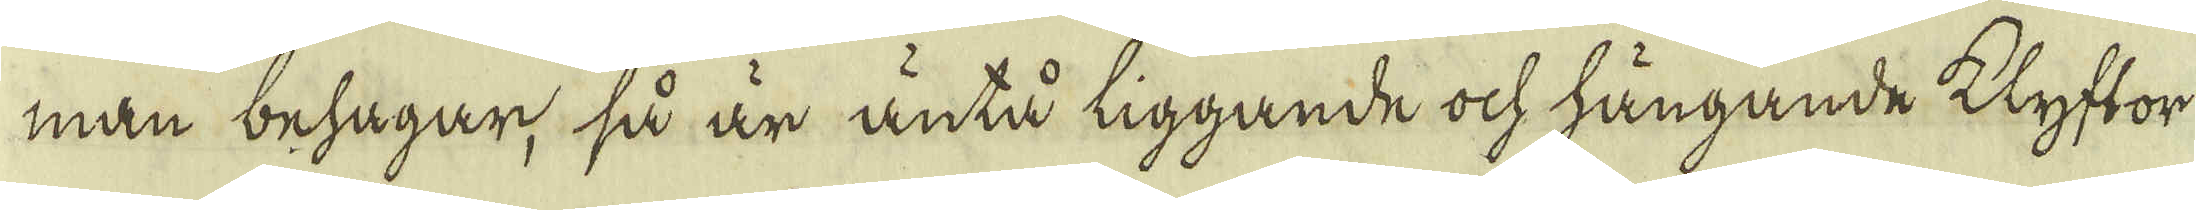man behagar, så är äntå liggande ock hängande klyftor
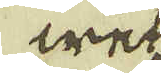wek
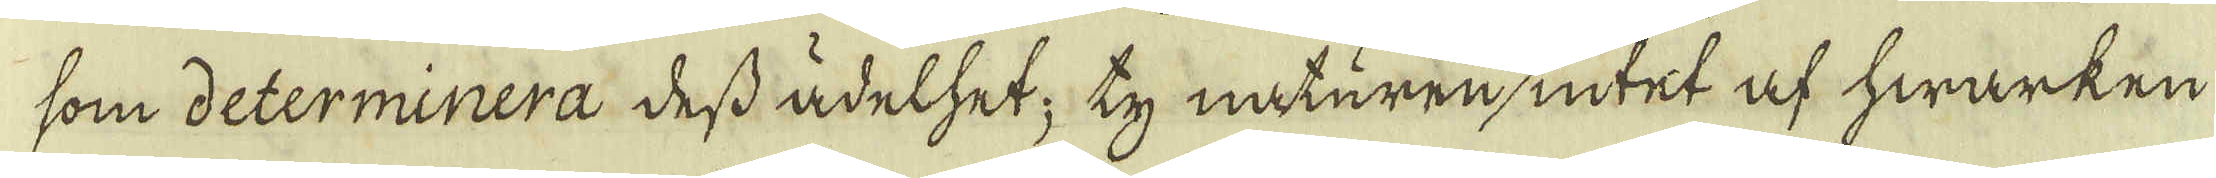som determinera dess ädelhet; ty naturen intet af hwarken
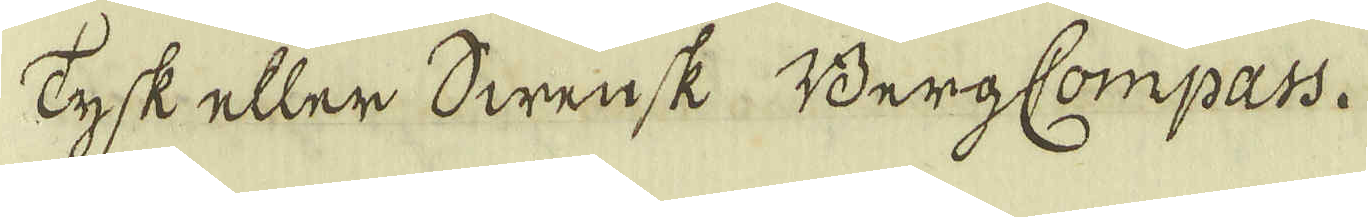Tysk eller Swensk BergCompass.
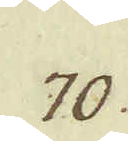70.
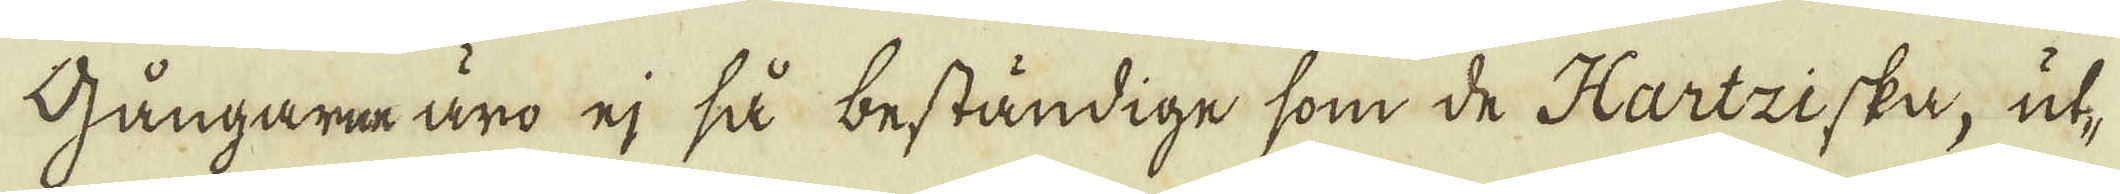Gångara äro ej så beständige som de Hartziska, ut-
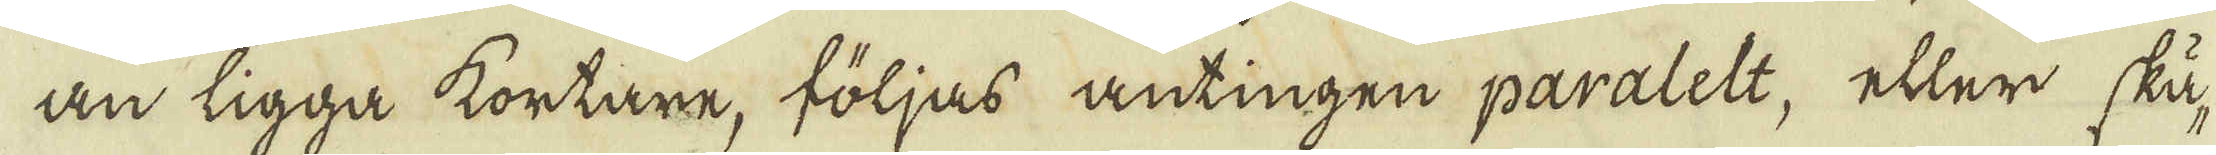an ligga kortare, följas antingen paralelt, eller skä-
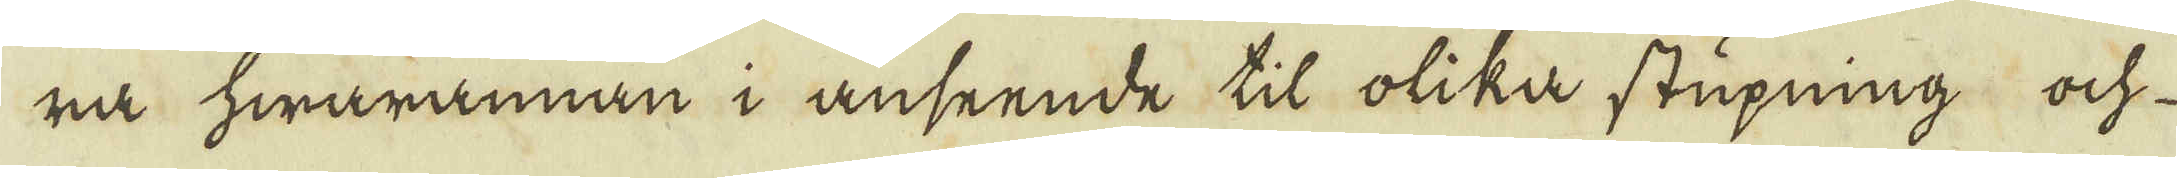ra hwarannan i anseende til olika stupning och
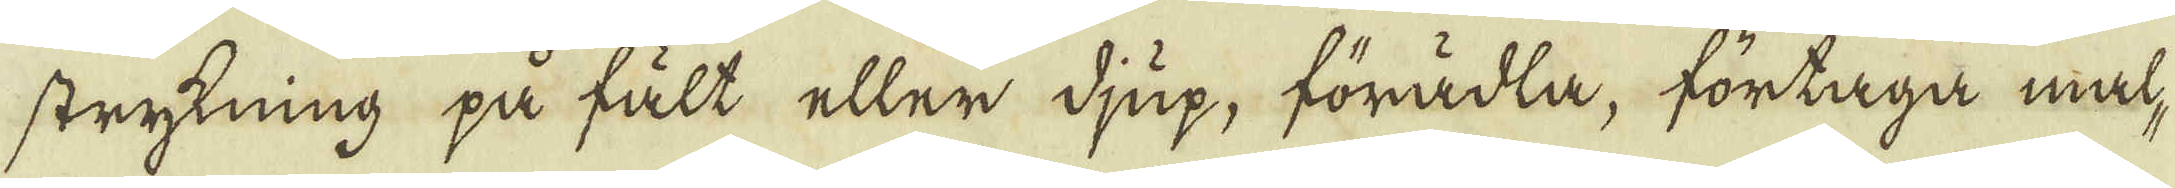strykning på fält eller djup, förädla, förtaga mal-
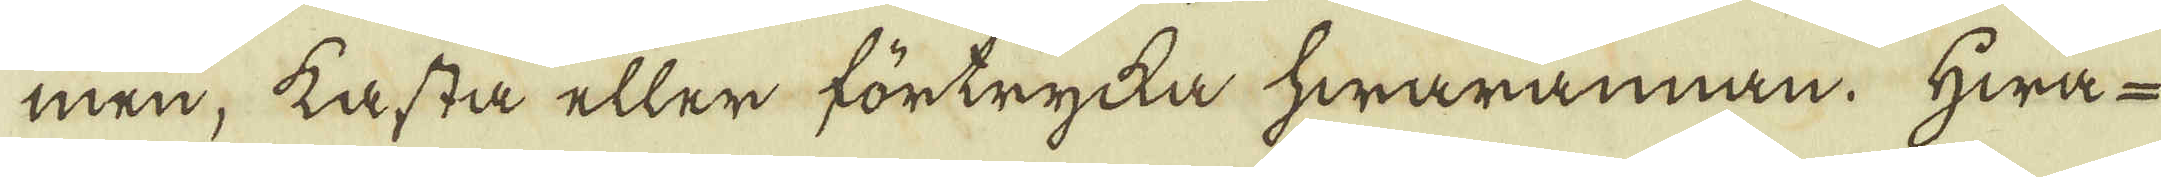men; kasta eller förtrycka hwarannan. Hwa-
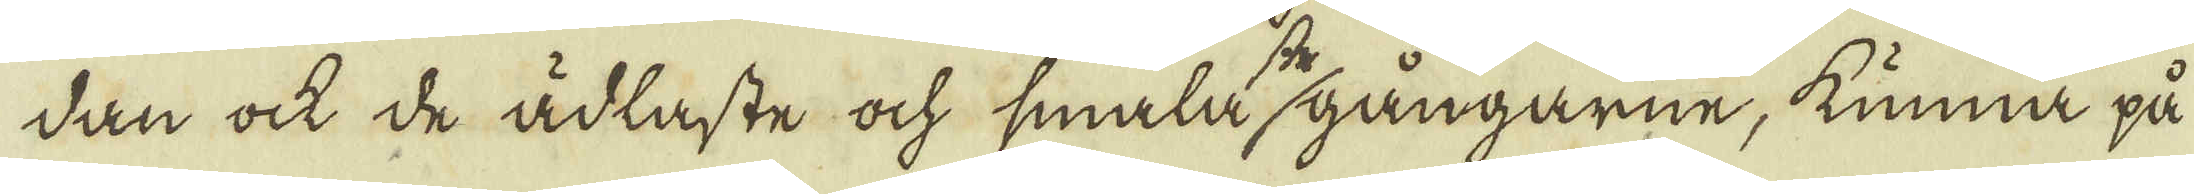dan ock de ädlaste ock smala gångarne, kunna på
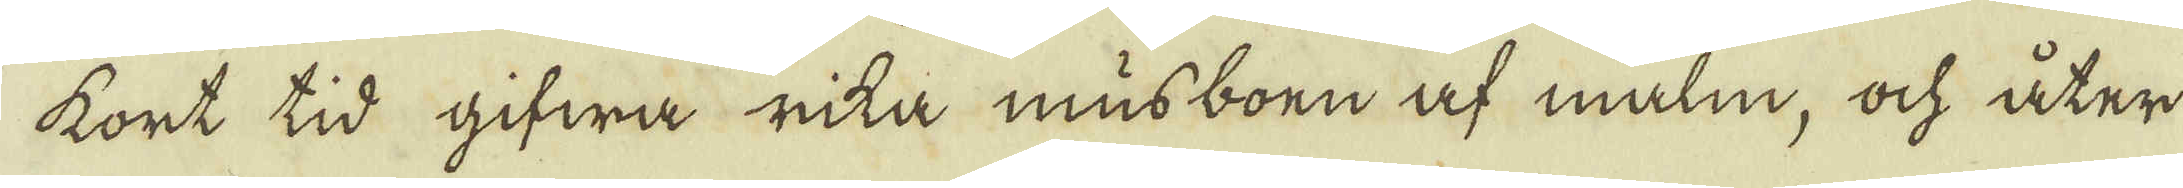kort tid gifwa rita musboen af malm, och åter
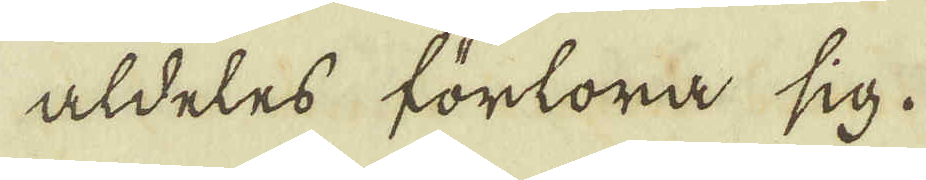aldeles förlora sig.
